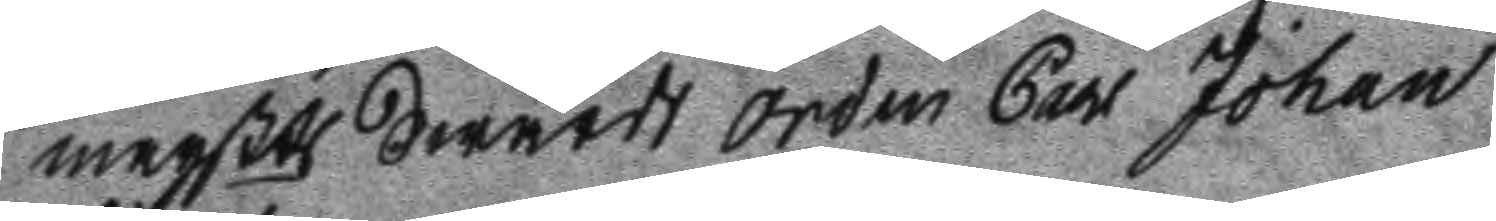Maysts Swärds Orden Carl Johan 
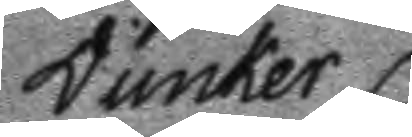Dunker.
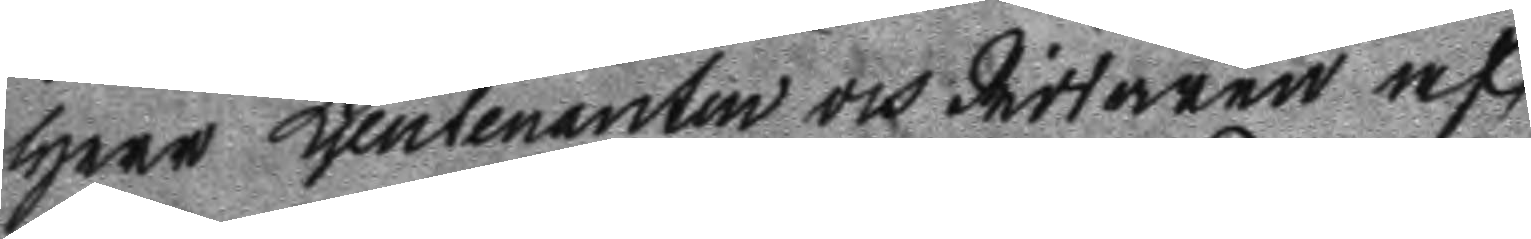Herr Ljeutenanten och Riddaren af
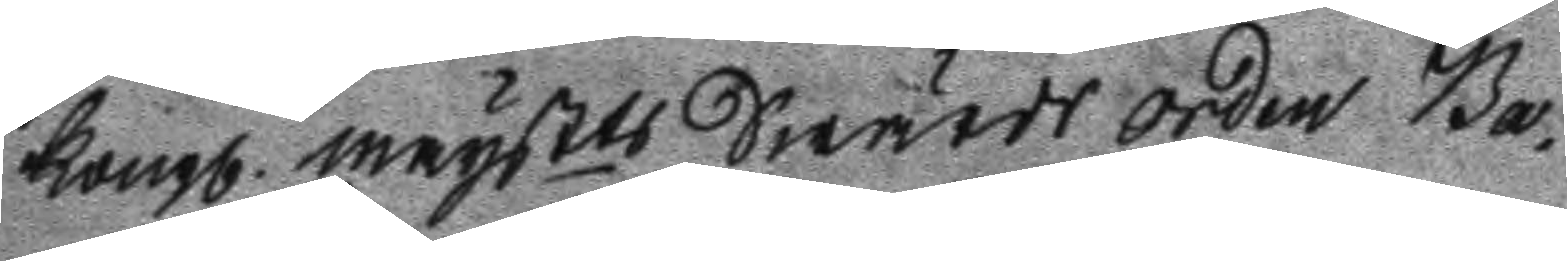Kongl. maysts Swärds Orden Ba¬
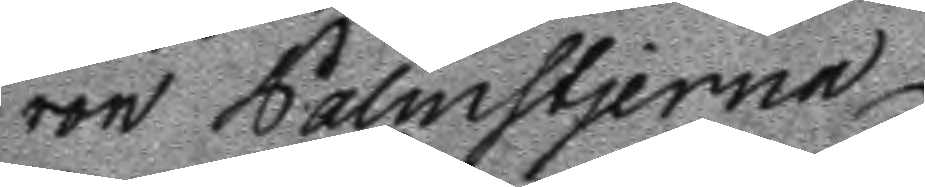ron Palmstjerna
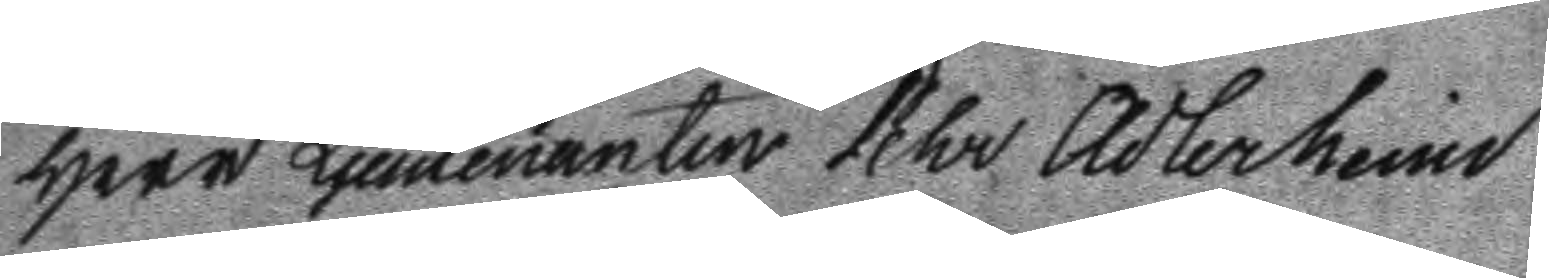Herr Ljeutenaten Pehr Adlerheim
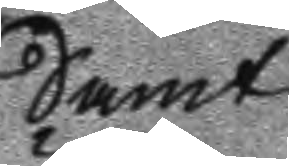Samt
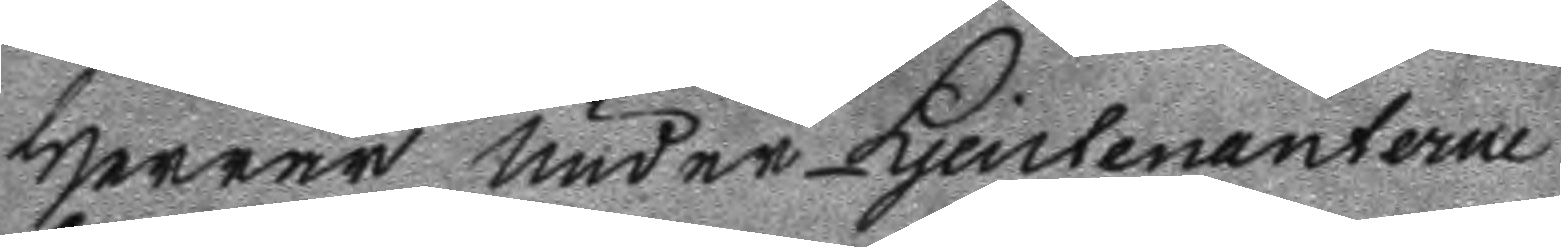Herrar Under Ljeutenanterne
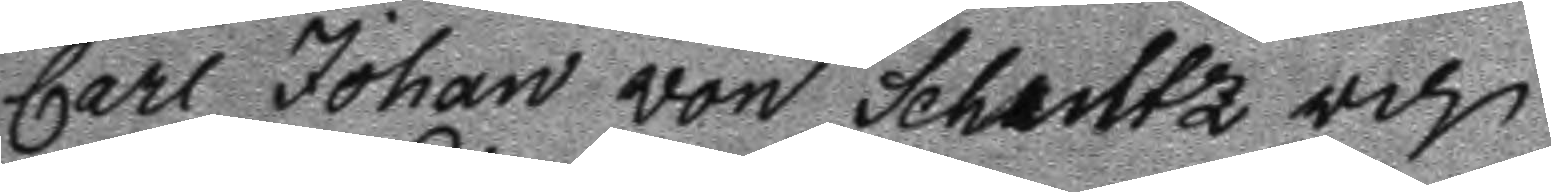Carl Johan von Schultz och
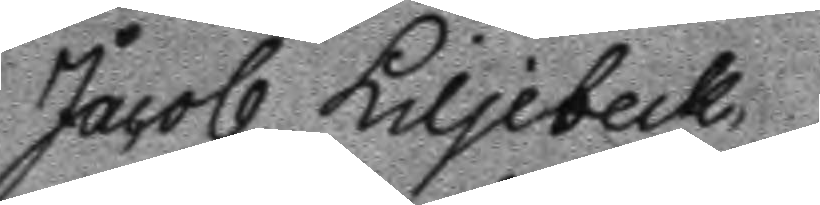Jacob Liljebeck,
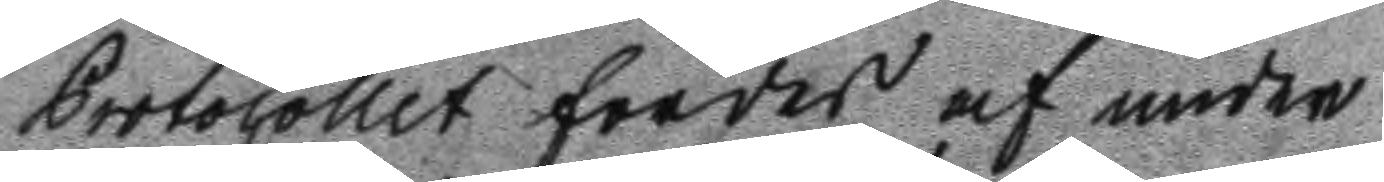Protocollet fördes af under
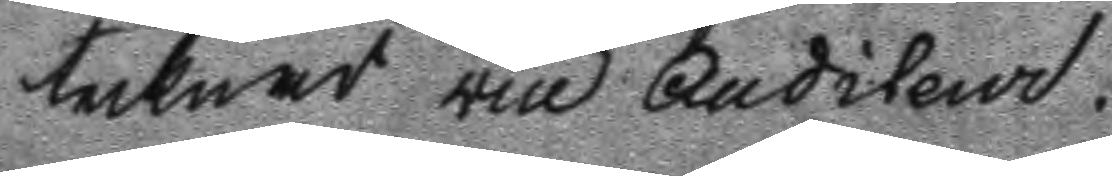tecknad vice Auditeur.
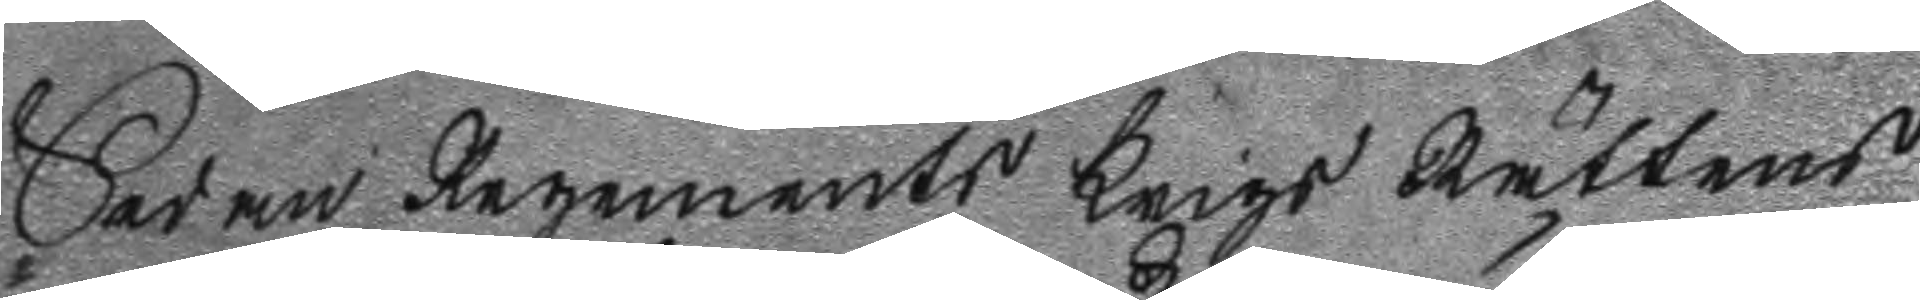Sedan Regements Krigs Rättens
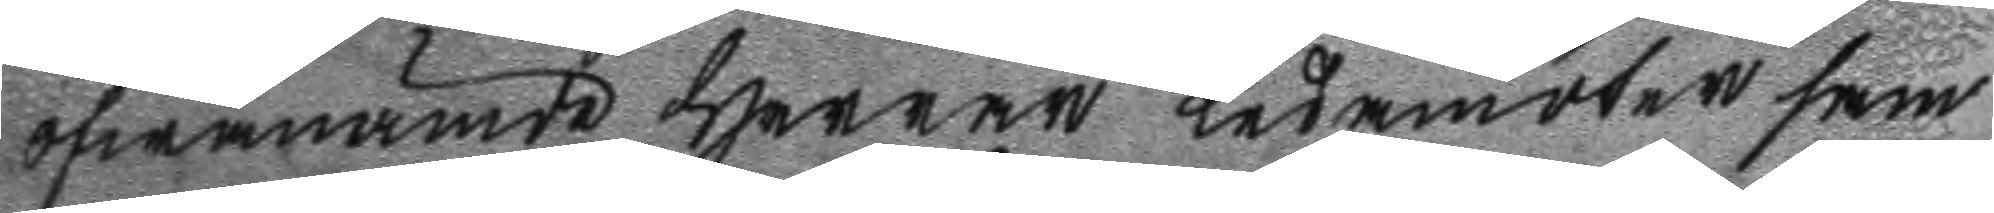öfwanämde Herrar Ledamöter fram
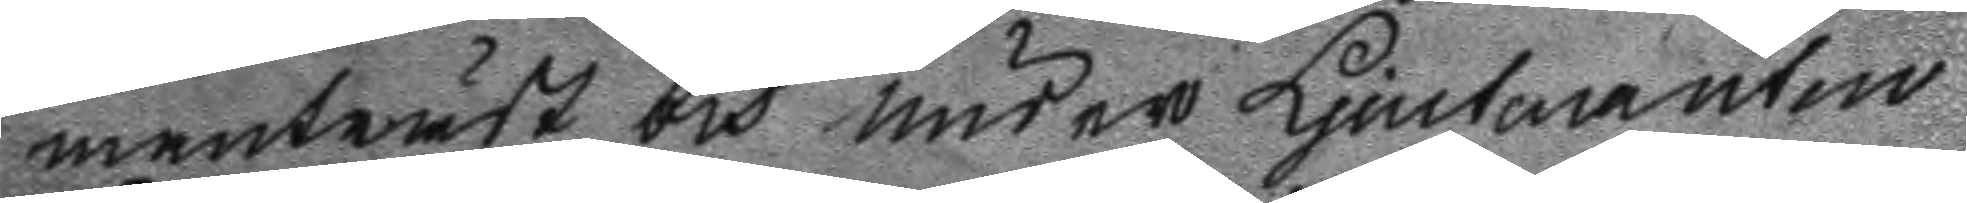manträdt och under Ljeutenanten
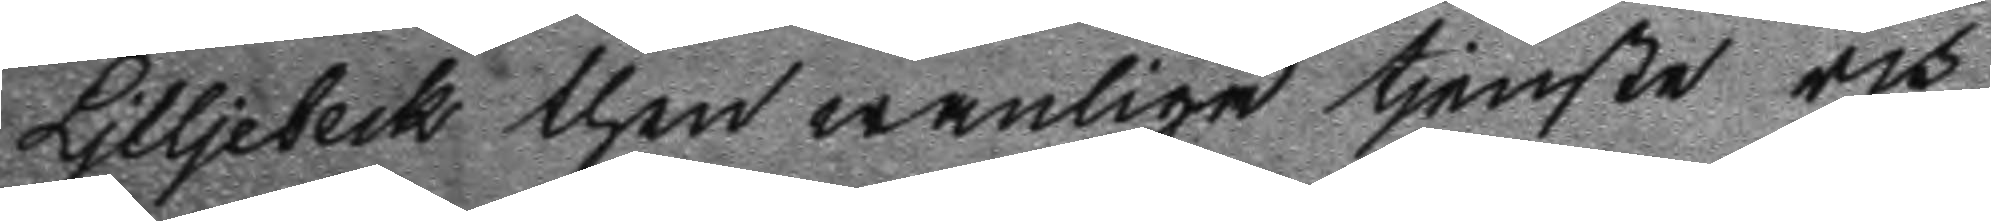Liljebeck then wanliga tjenste och
